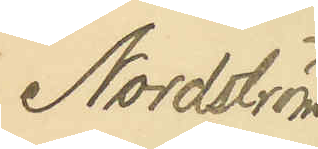Nordström
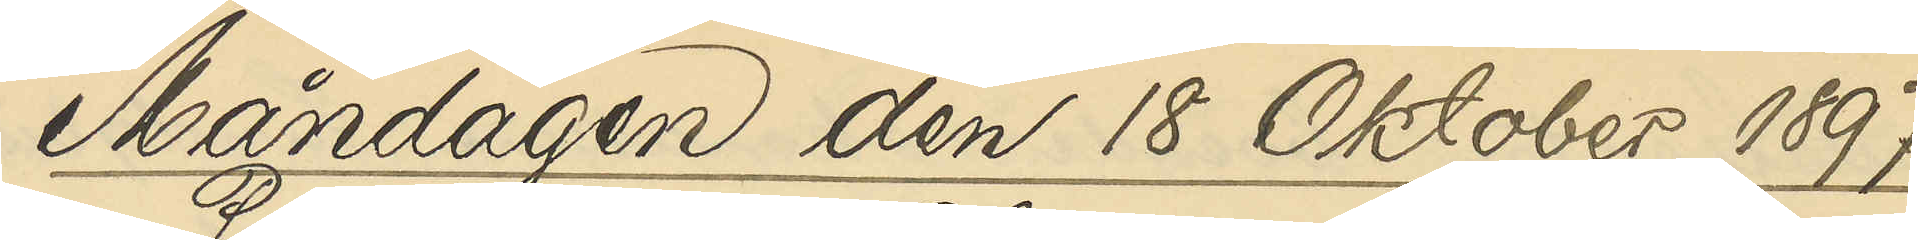Måndagen den 18 Oktober 1897.
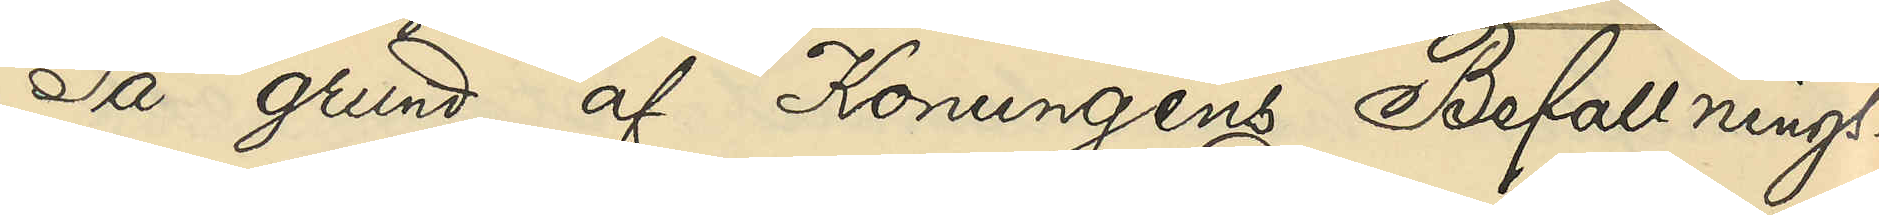På grund af Konungens Befallnings¬
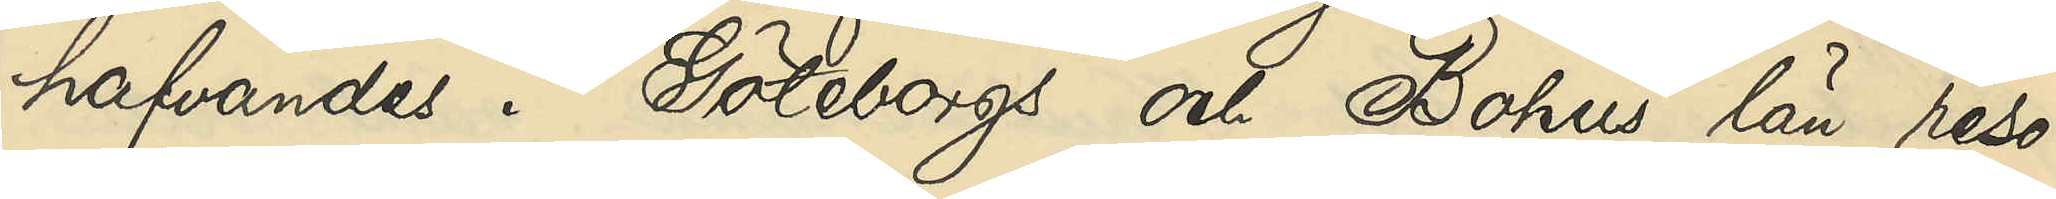hafvandes i Göteborgs och Bohus län reso¬
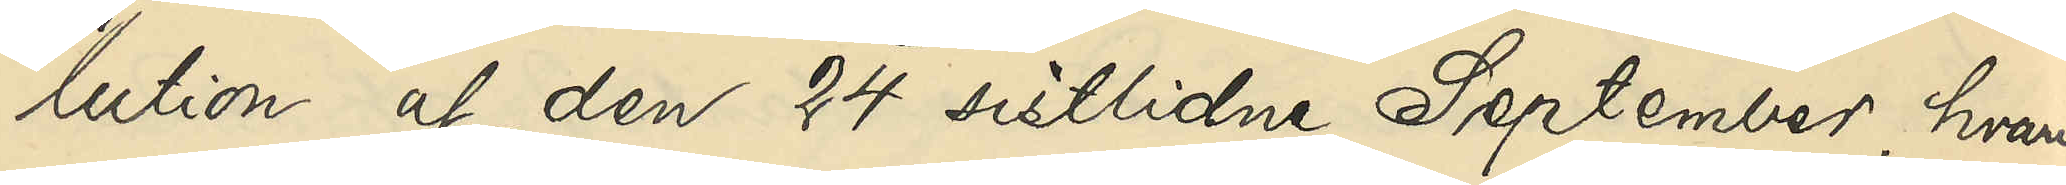lution af den 24 sistlidne September, hvari¬
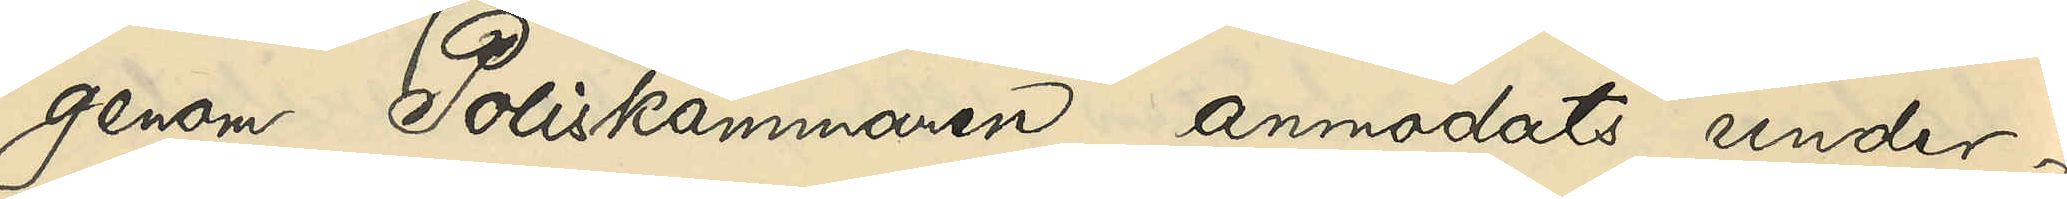genom Poliskammaren anmodats under¬
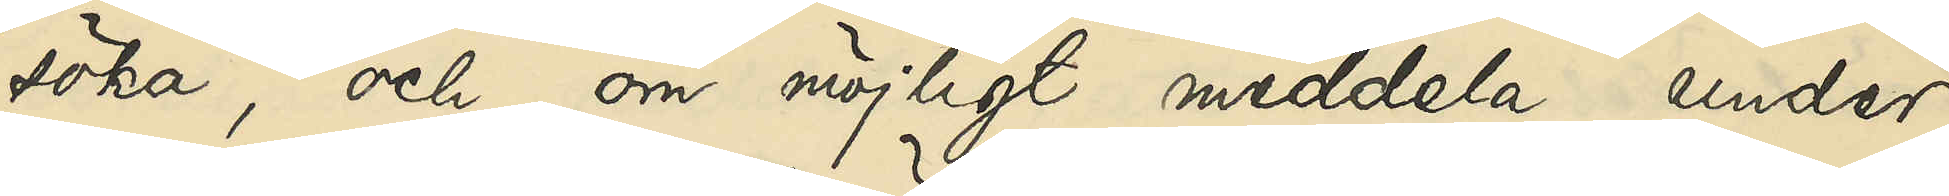söka, och, om möjligt meddela, under
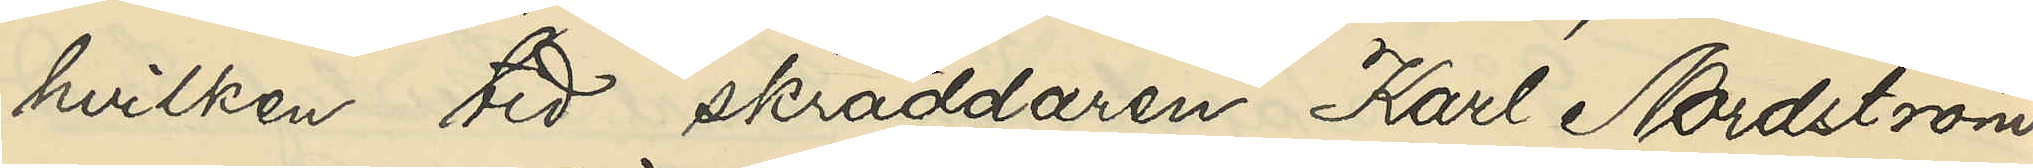hvilken tid skräddaren Karl Nordström
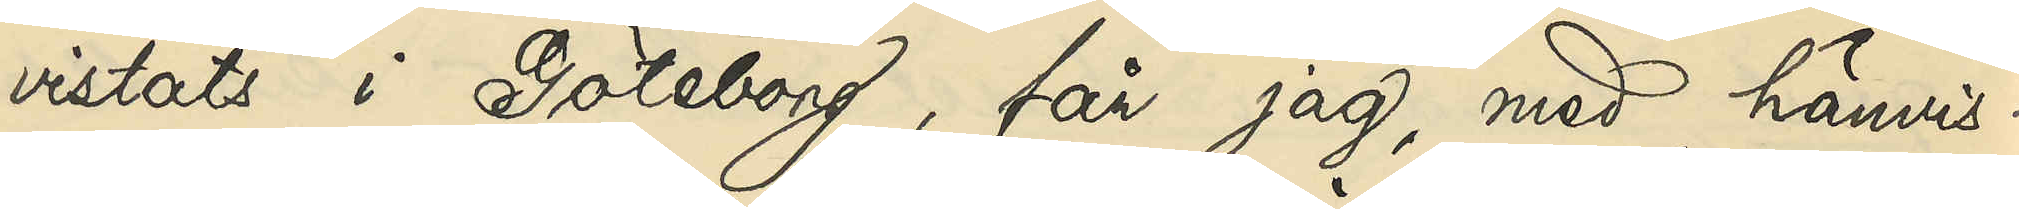vistats i Göteborg, får jag, med hänvis¬
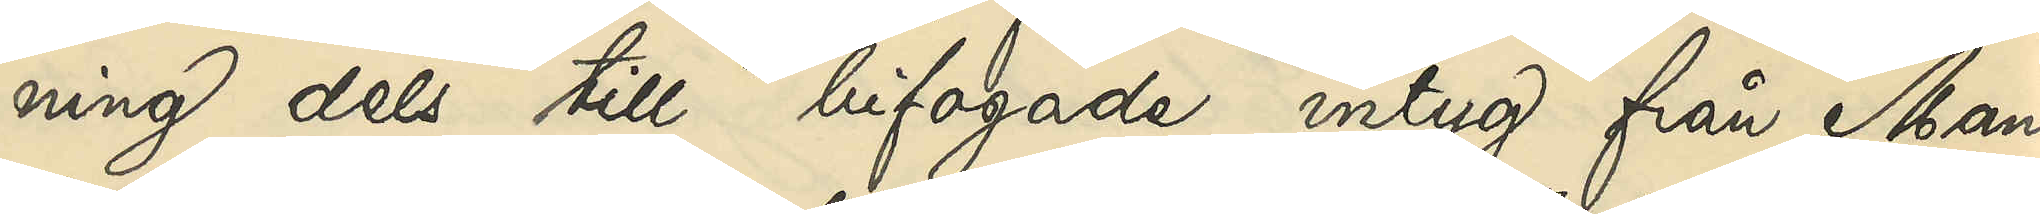ning dels till bifogade intyg från Man¬
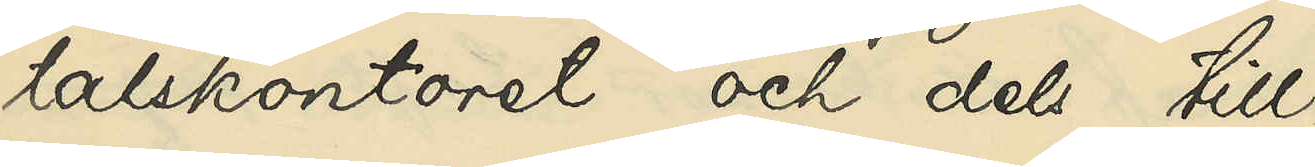talskontoret och dels till
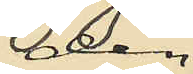den
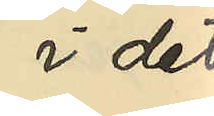i det
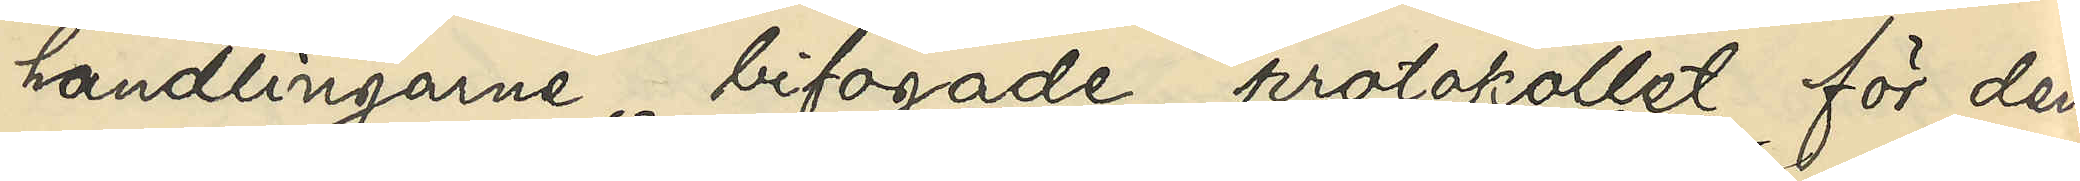handlingarne bifogade protokollet för den
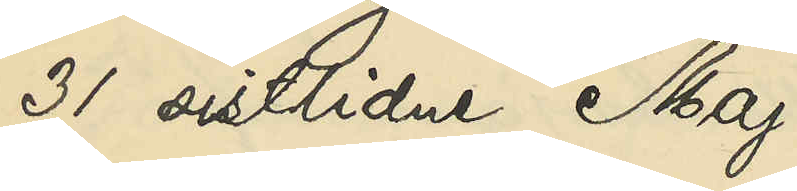31 sistlidne Maj
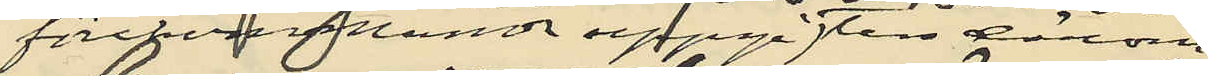förekommande uppgiften därom
